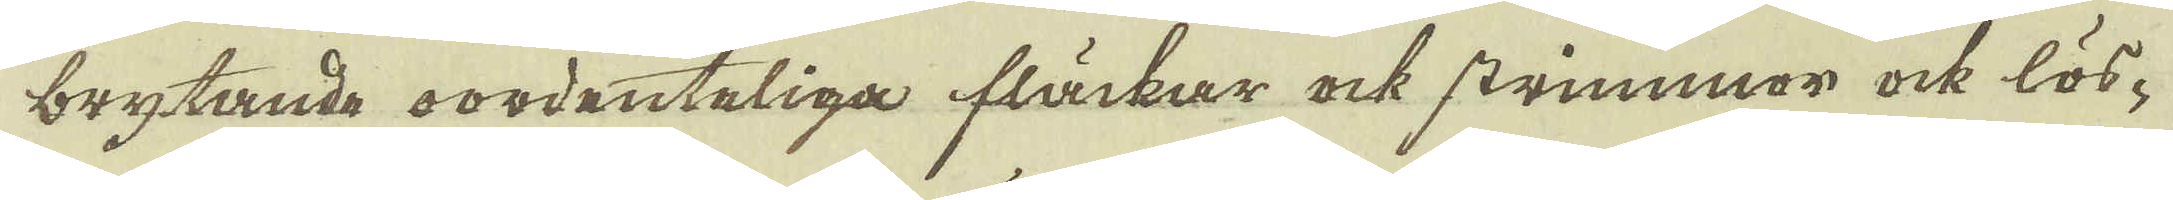brytande oordenteliga fläckar ock strimmor ock lös-
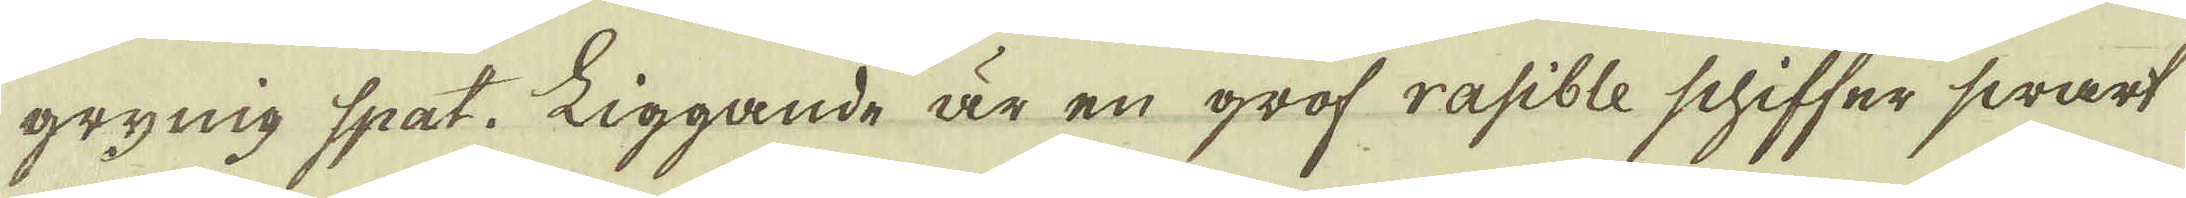grynig spat. Liggande är en grof rasible schiffer swart
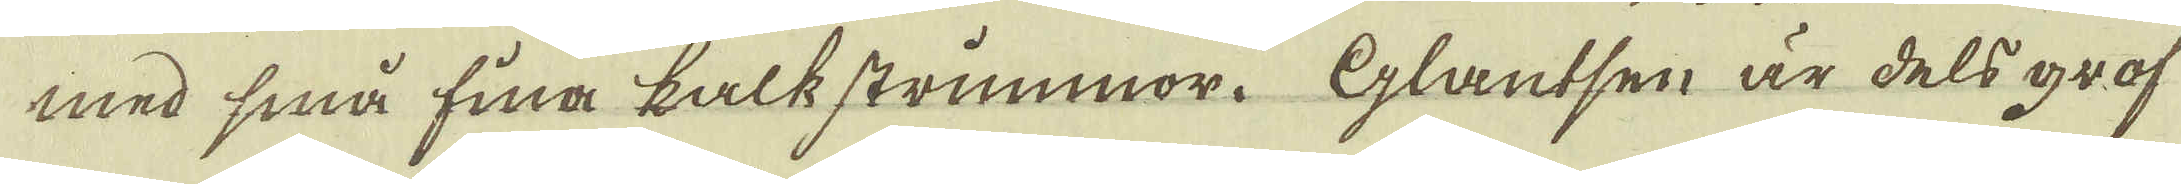med små fina kalkstrimmor. Glantsen är dels grof
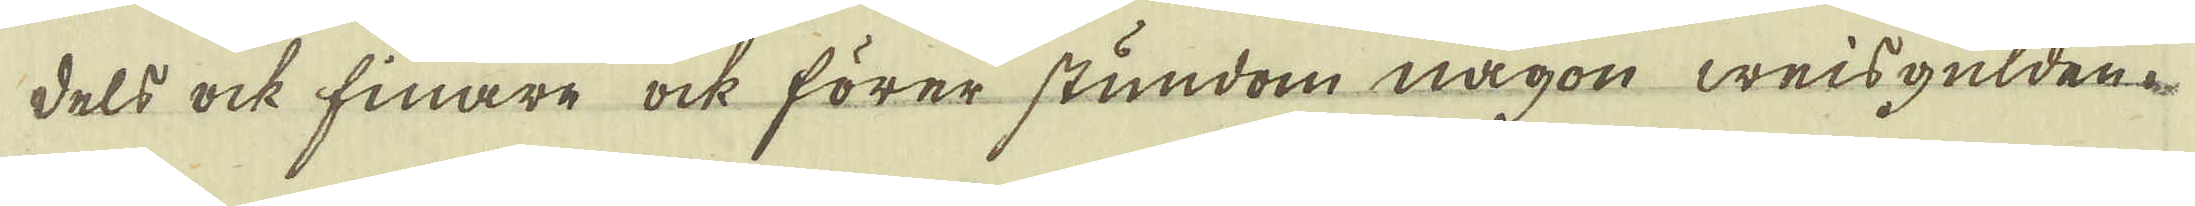dels ock finare ock förer stundom någon weisgulden.
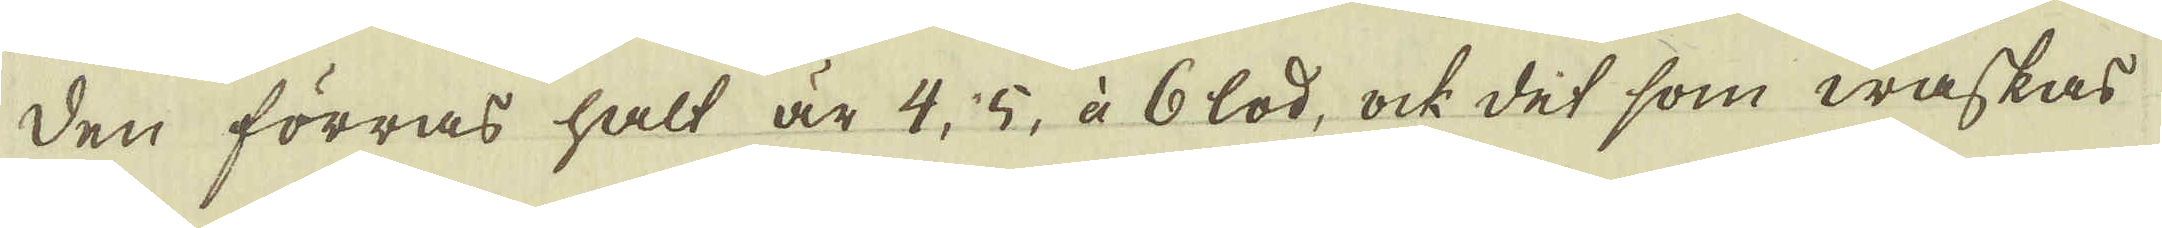Den förras halt är 4, 5, à 6 lod, ock det som waskas
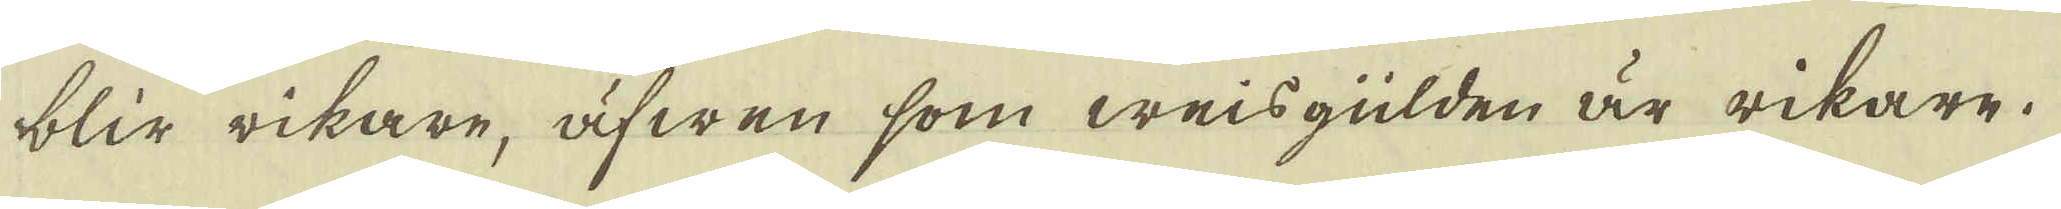blir rikare, äfwen som weisgülden är rikare.
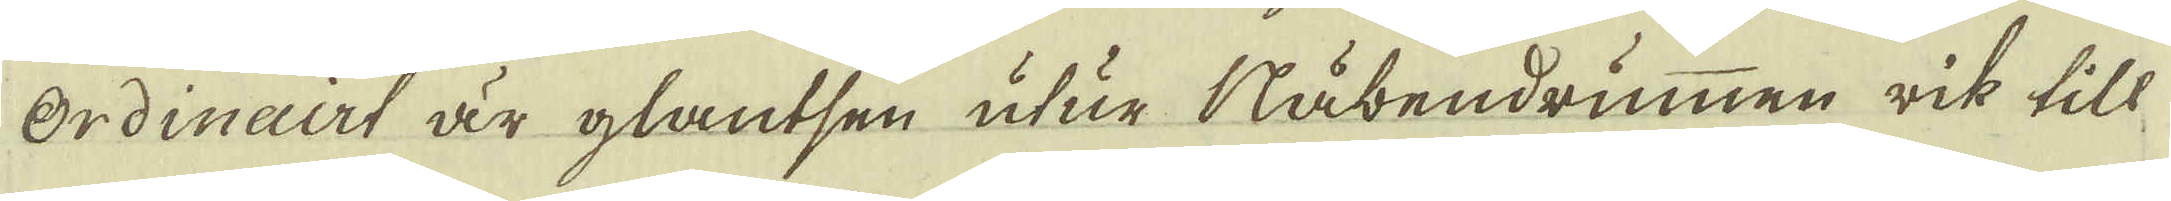Ordinairt är glantsen utur Nåbendrummen rik till
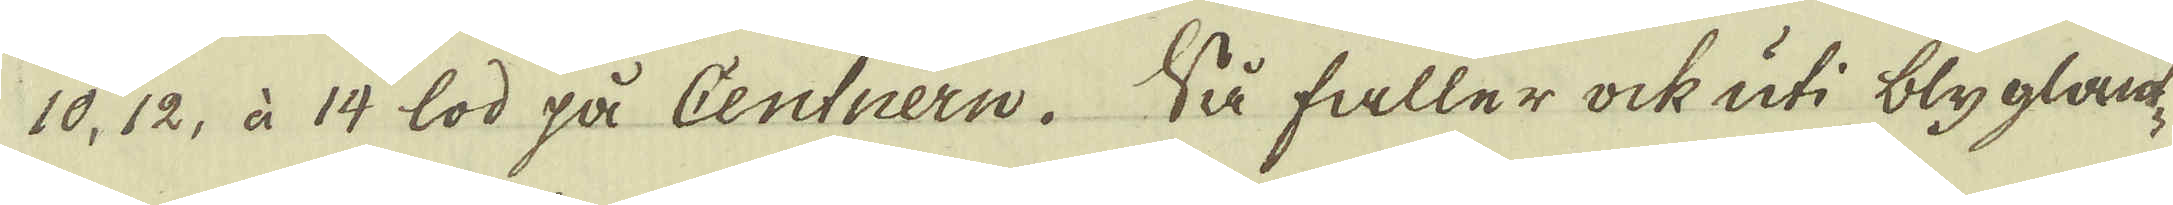10, 12, à 14 lod på Centnern. Så faller ock uti blyglant-
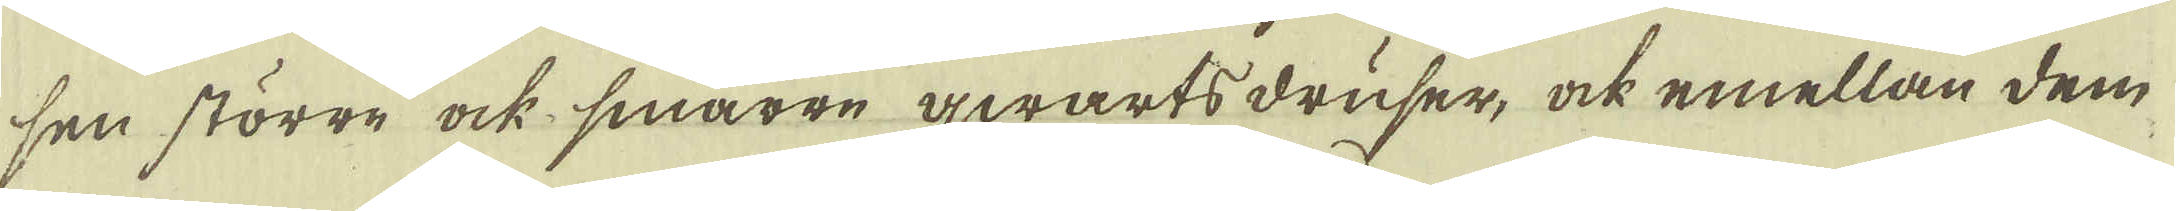sen större ock smärre qwartsdruser, ock emellan dem
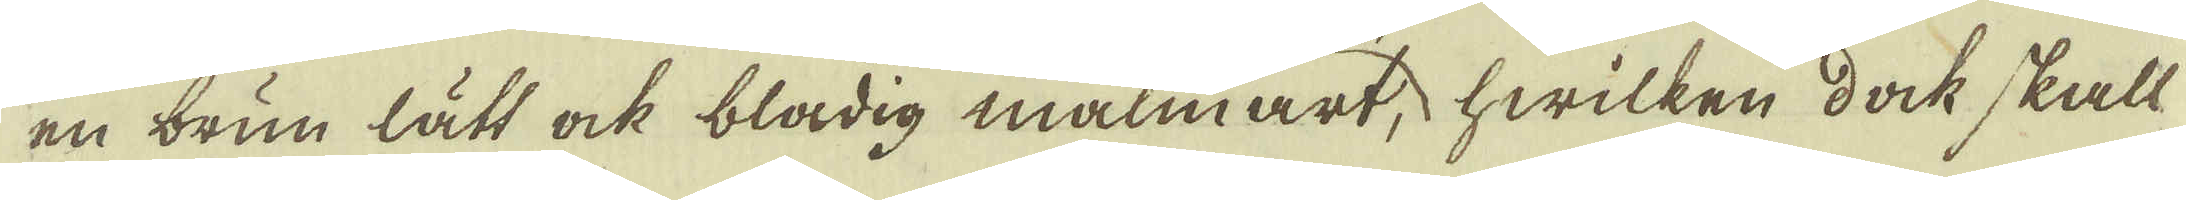en brun lätt ock bladig malmart, hwilken dock skall
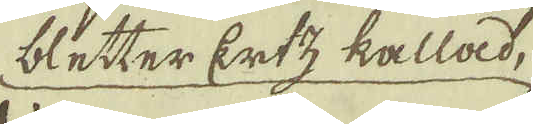bletter Ertz kallad,
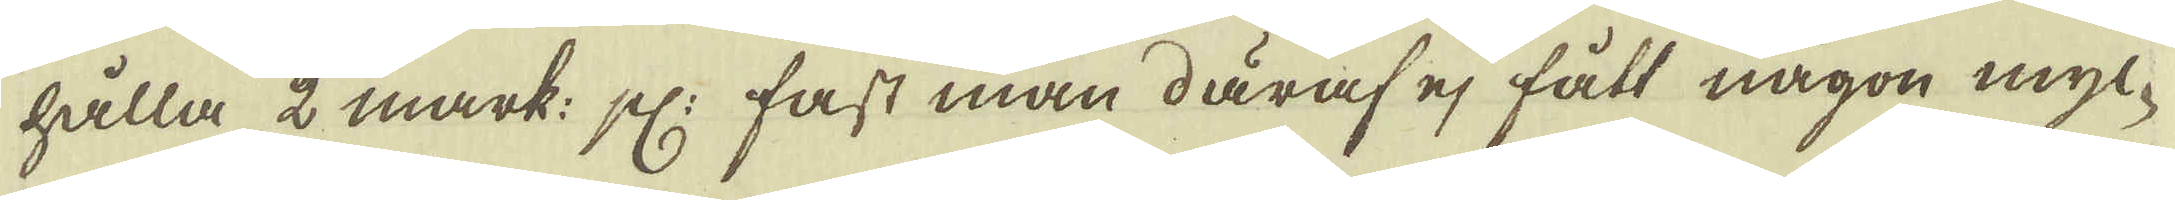hålla 2 mark: pl: fast man däraf ej fått någon myc-
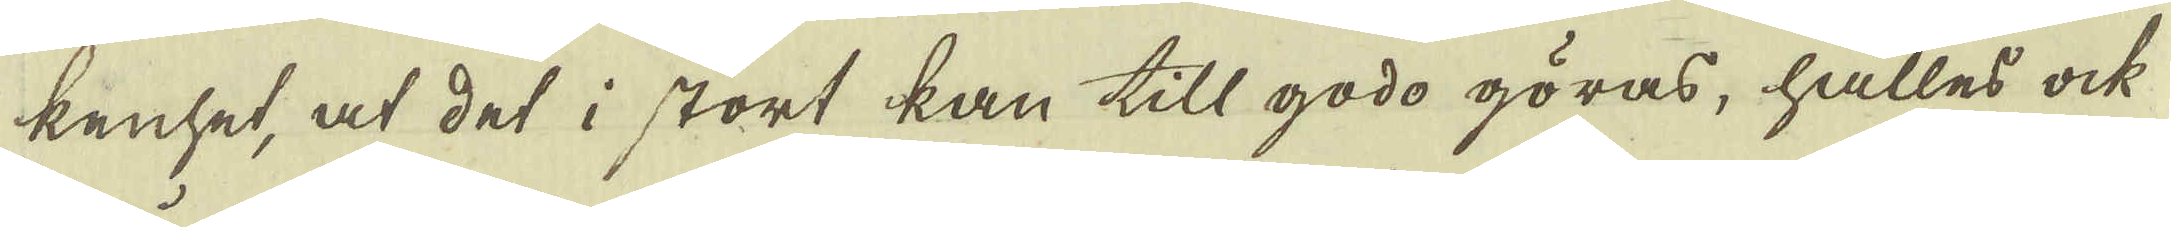kenhet, at det i stort kan till godo göras, hålles ock
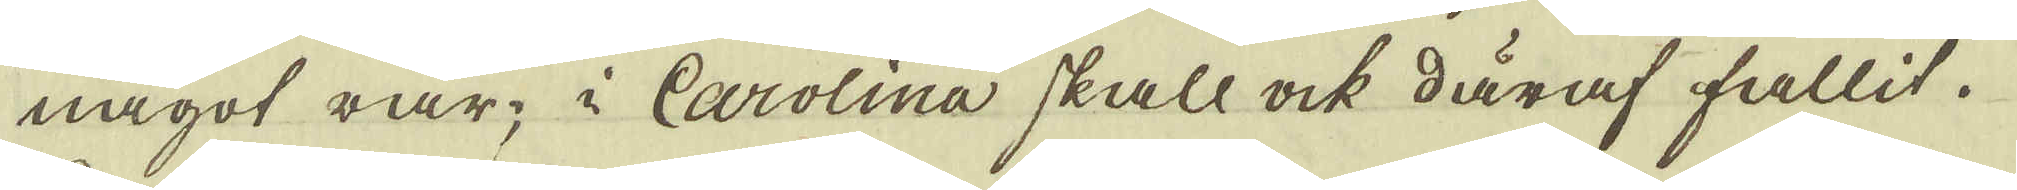något rar; i Carolina skall ock däraf fallit.
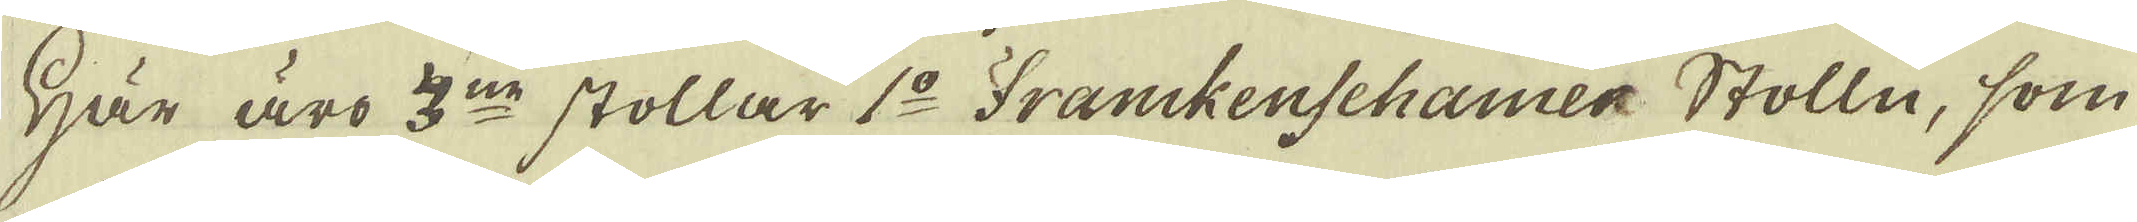Här äro 3:ne stollar 1:o Franckenschamer Stolln, som
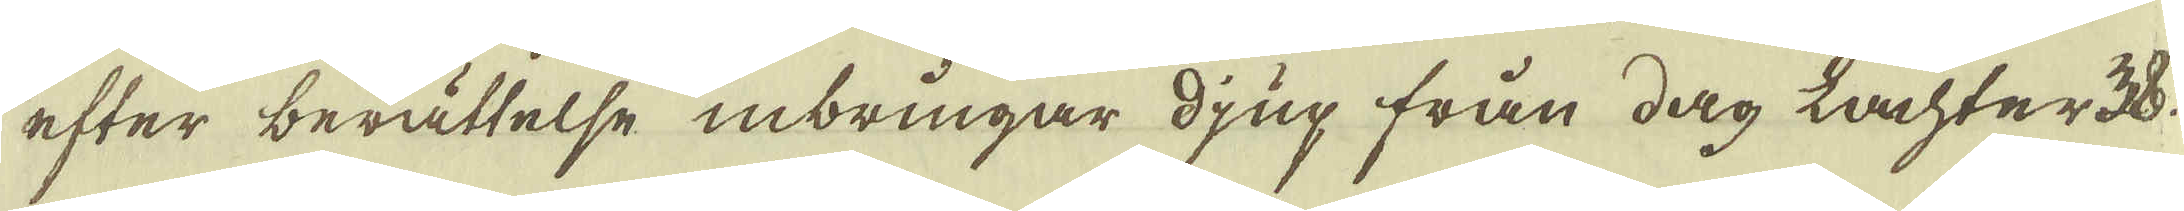efter berättelse inbringar djup från dag Lachter 38.
